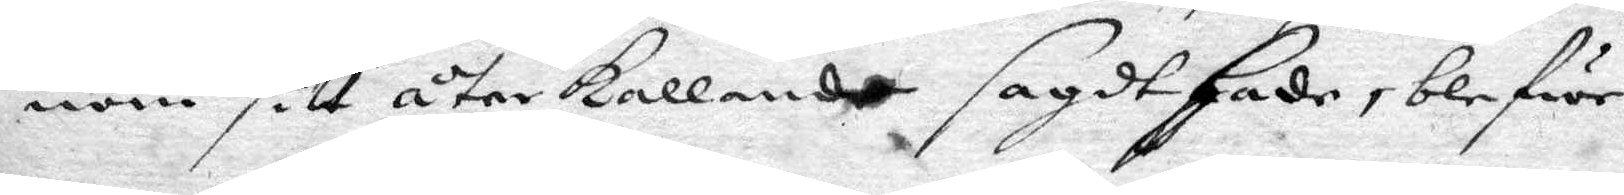nom sitt återkallande sagdt hade, blifwe
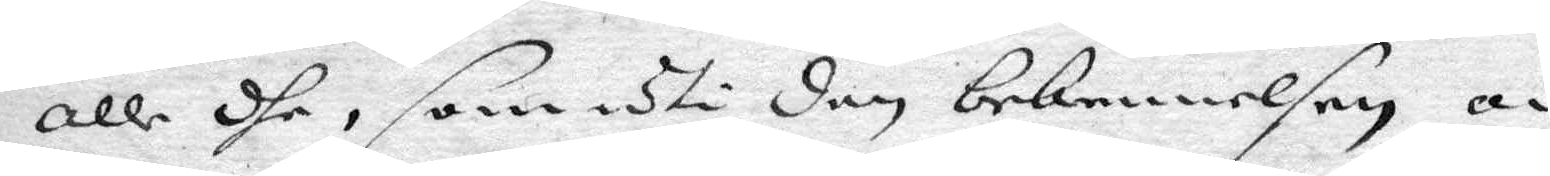alle dhe, som uti den bekennelsen om
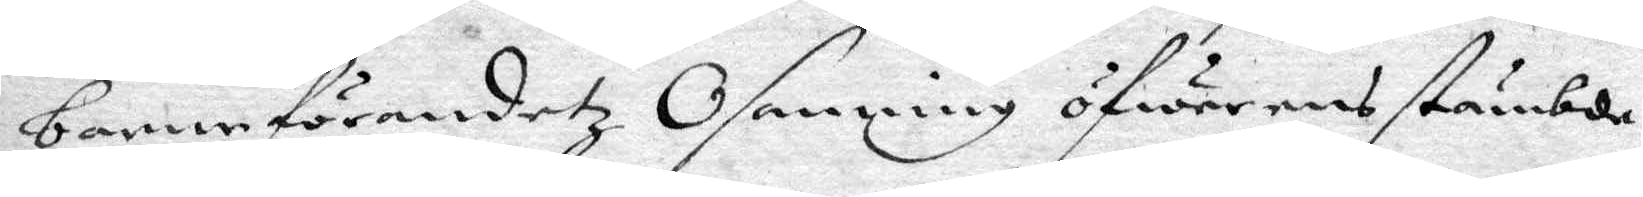barnaförandetz Osanning öfwerensstämde,
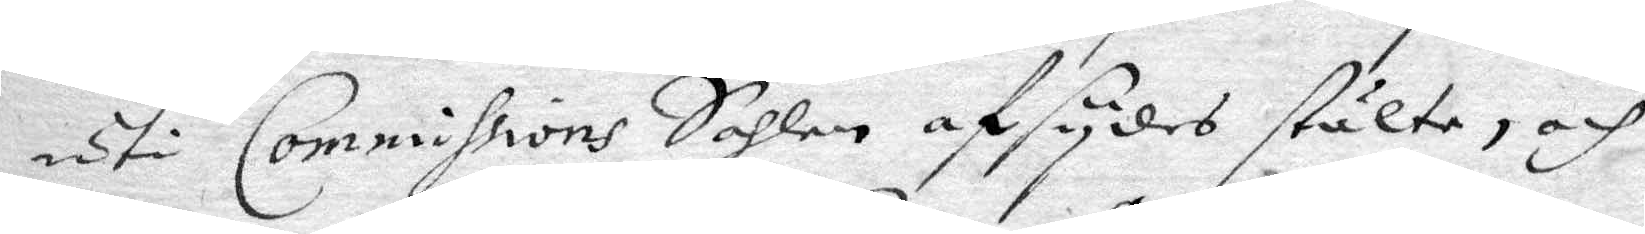uti Commissions Sahlen afsydes stälte, och
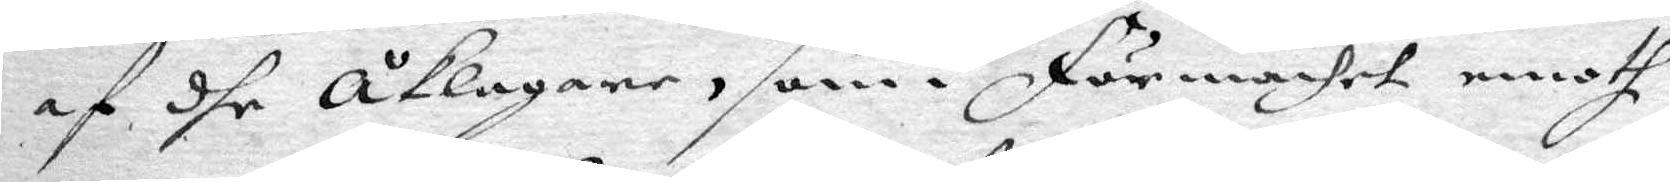af dhe åklagare, som i Förmachet emoth
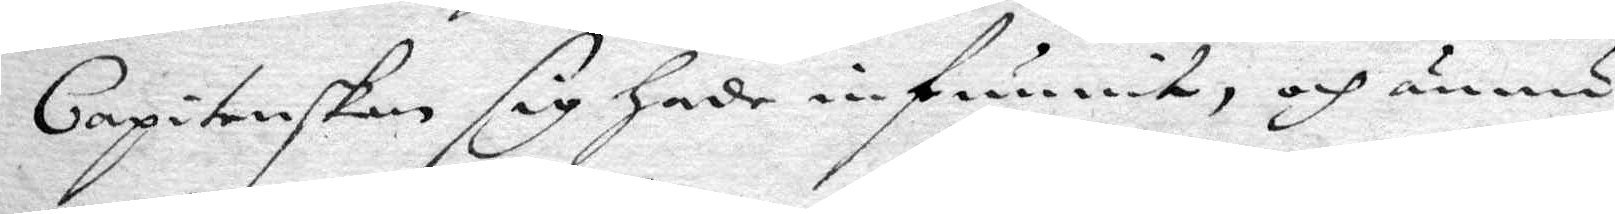Capitenskan sig hade infunnit, och ännu
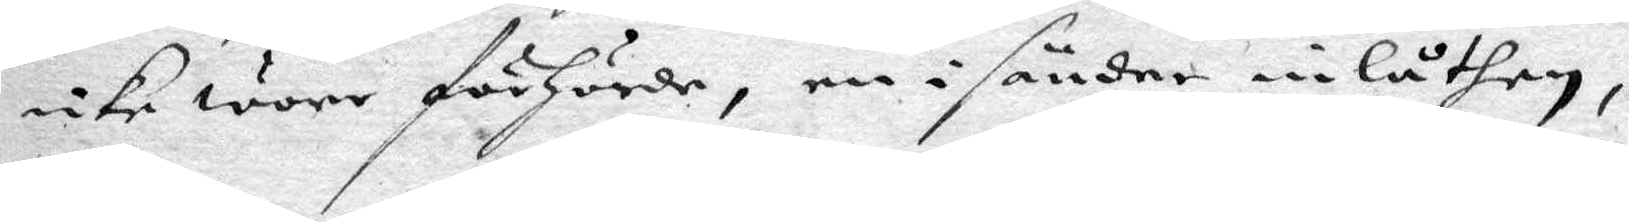icke wore förhörde, en i sänder inlåthen,
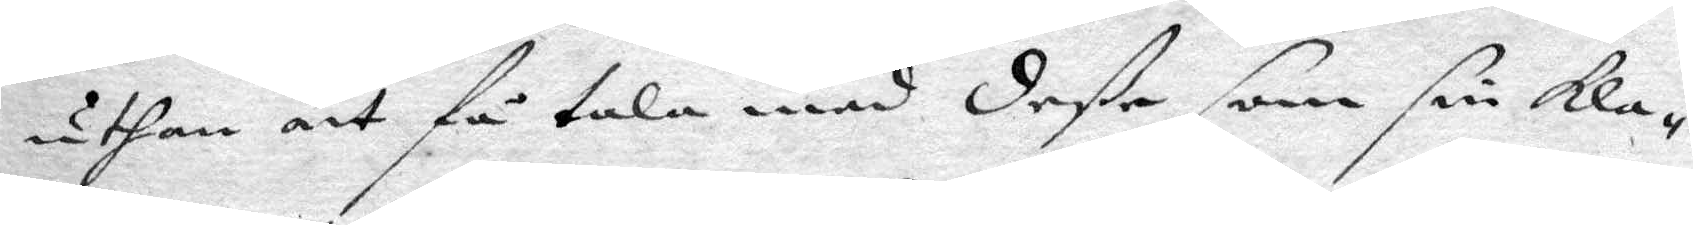uthan att få tala med dee som sin kla¬
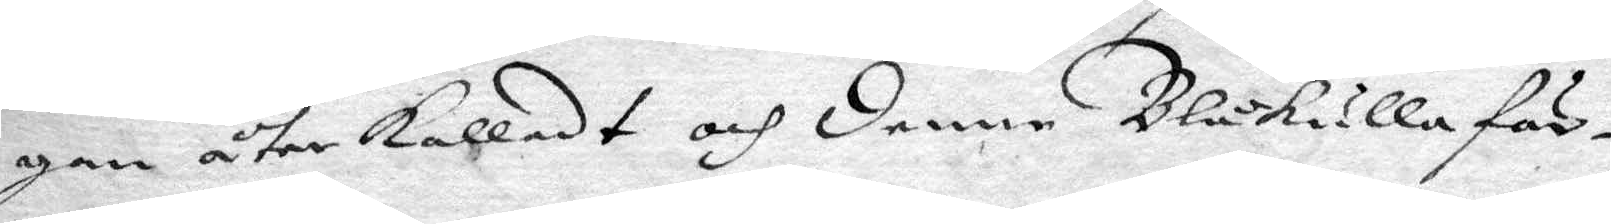gan återkalladt och denne Blåkulla fär¬
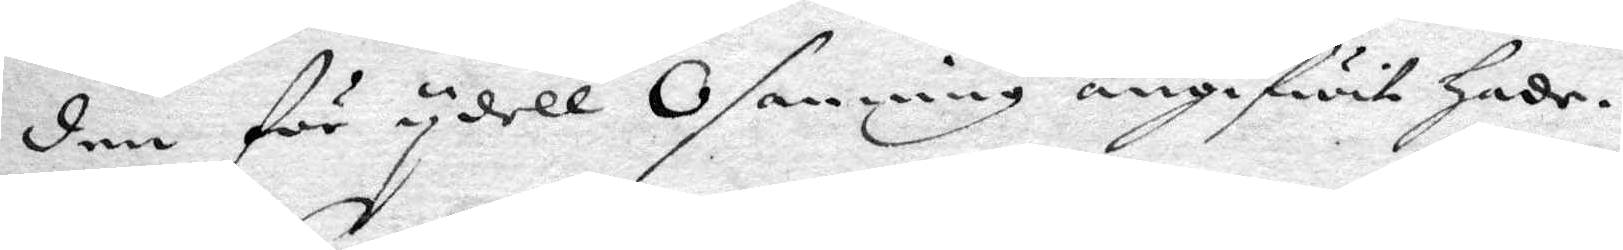den för ydell Osanning angifwit hade.
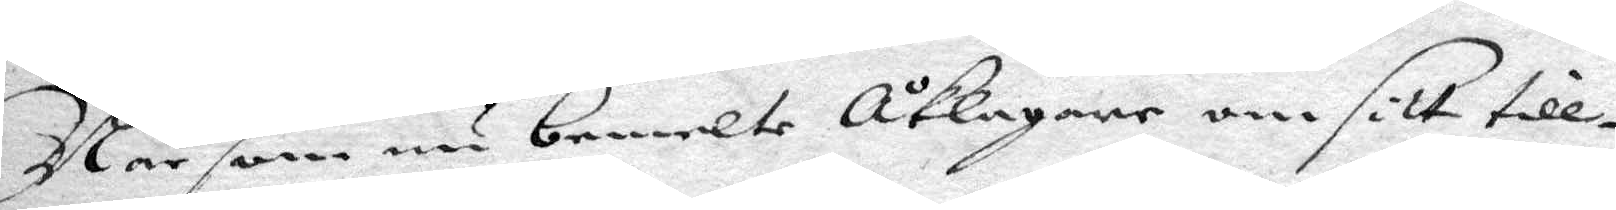Nr som nu bemelte åklagare om sitt till¬
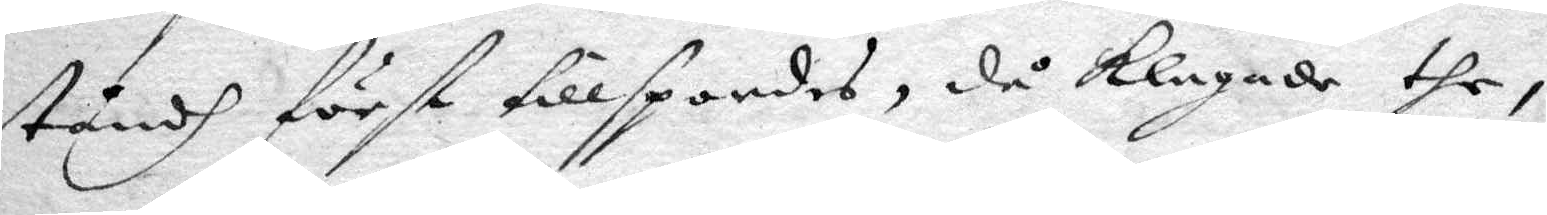ståndh först tillspordes, då klagade the,
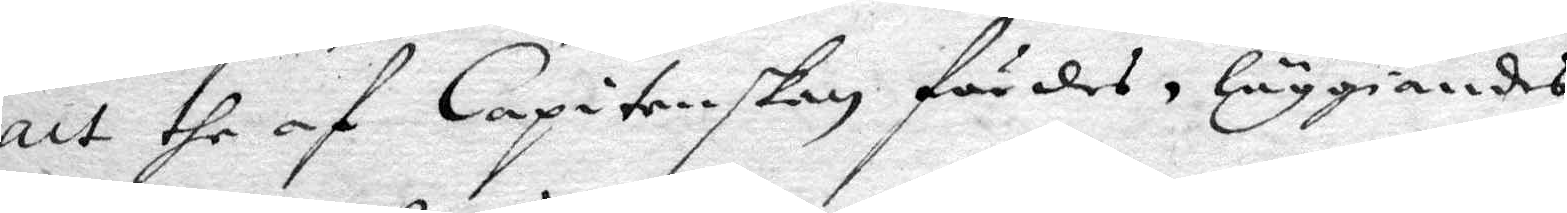att the af Capitenskan fördes, läggiandes
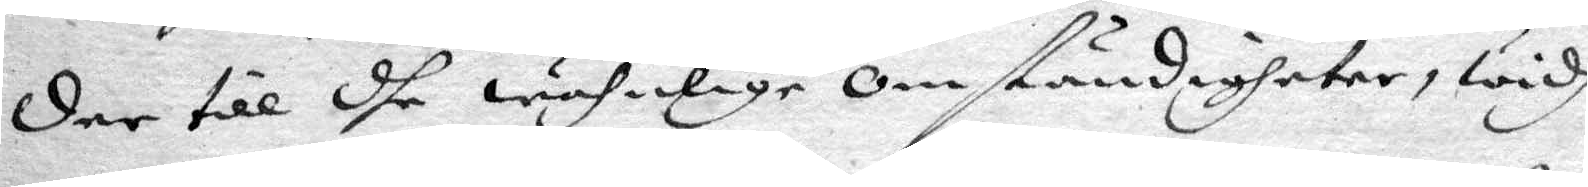der till dhe wähmlige omständigheter, widh
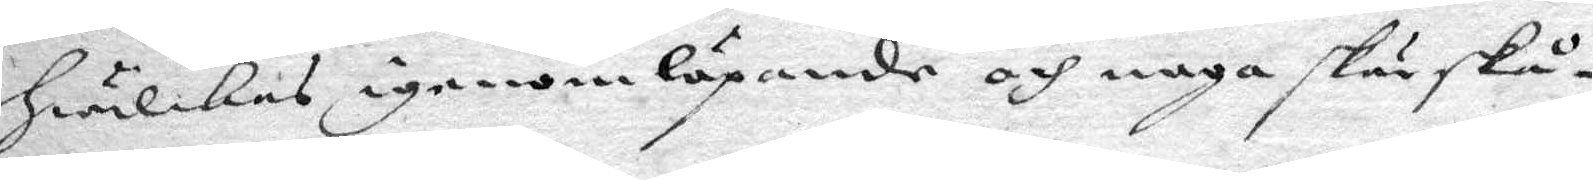hwilkes igenom löpande och noga skärskå¬
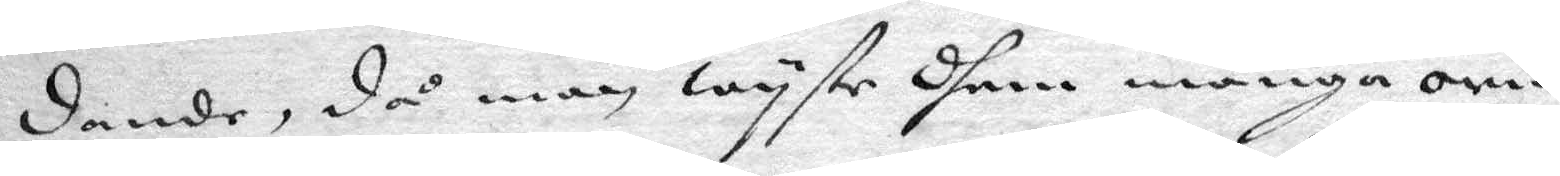dande, då man wyste dhem många orim¬
